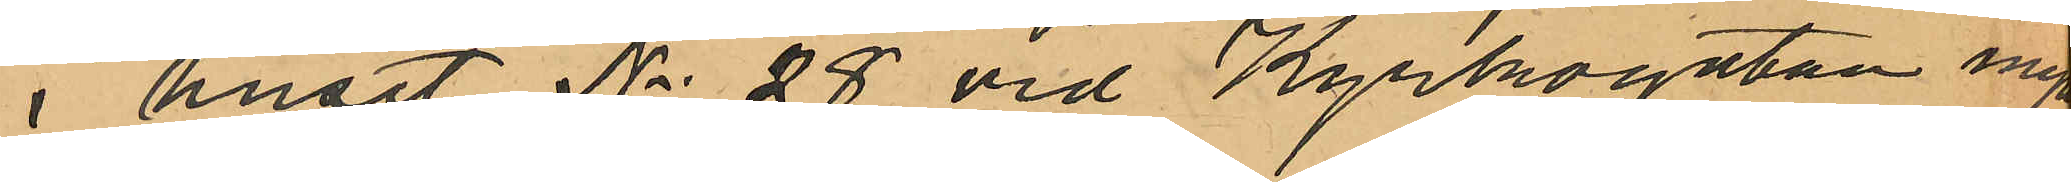i huset No 28 vid Kyrkogatan ingått
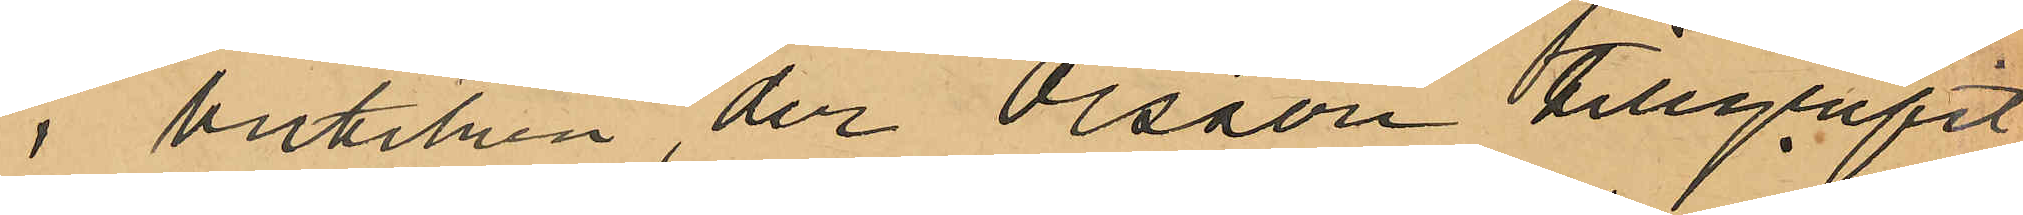i butiken, der Olsson tillgrripit
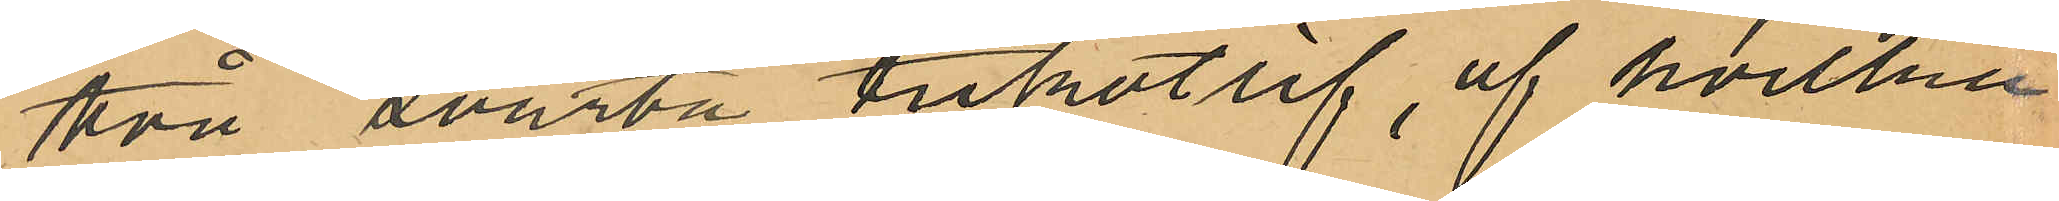två svarta trikotlif, af hvilka
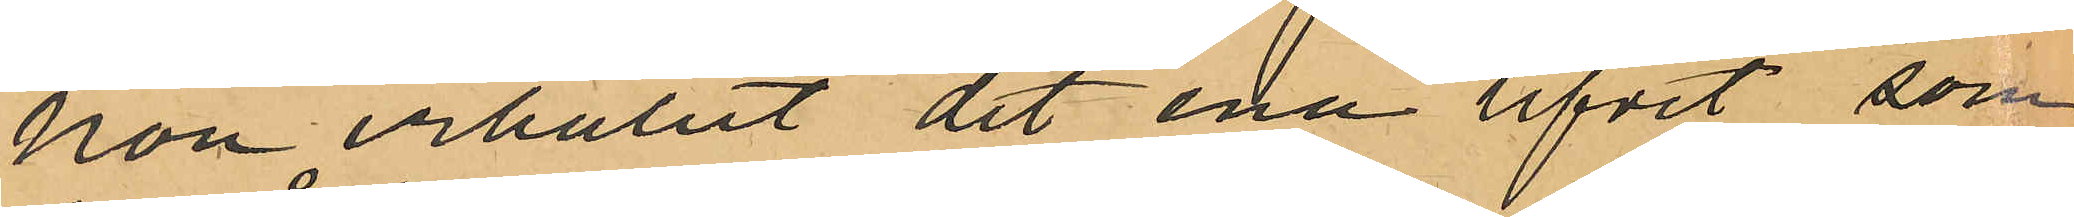hon erhållit det ena lifvet, som
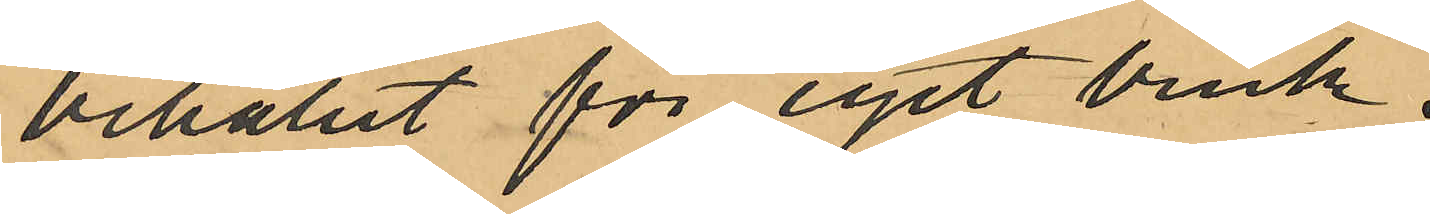behållit för eget bruk,
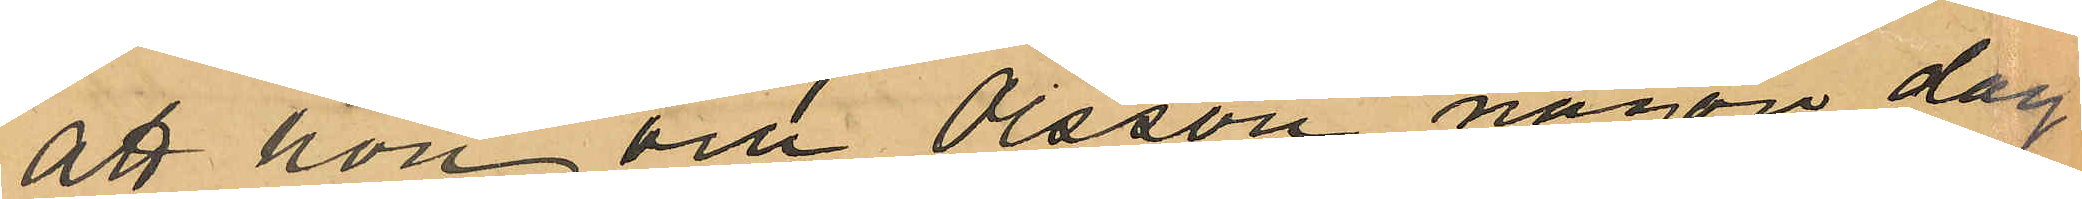att hon och Olsson någon dag
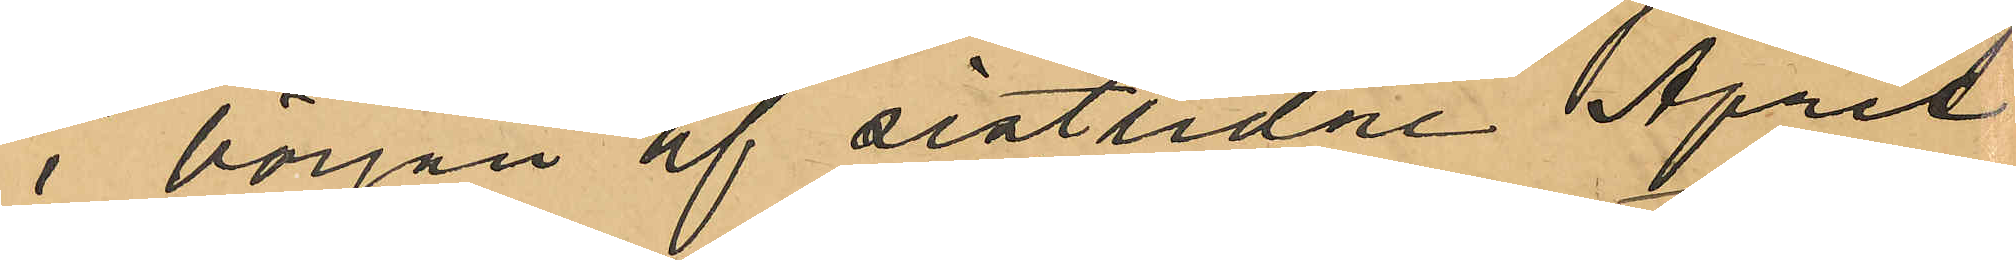i början af sistlidne April
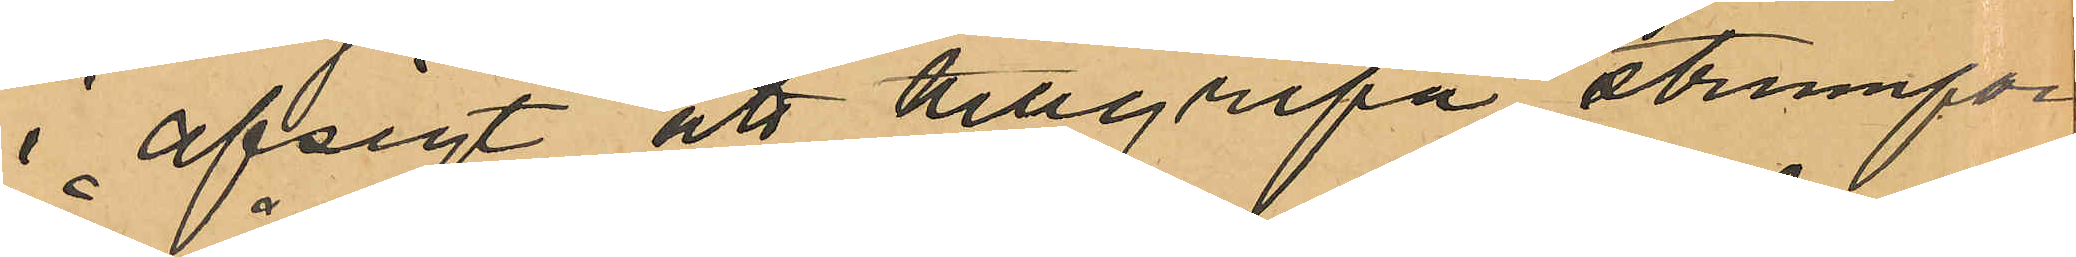i afsigt att tillgripa strumpor
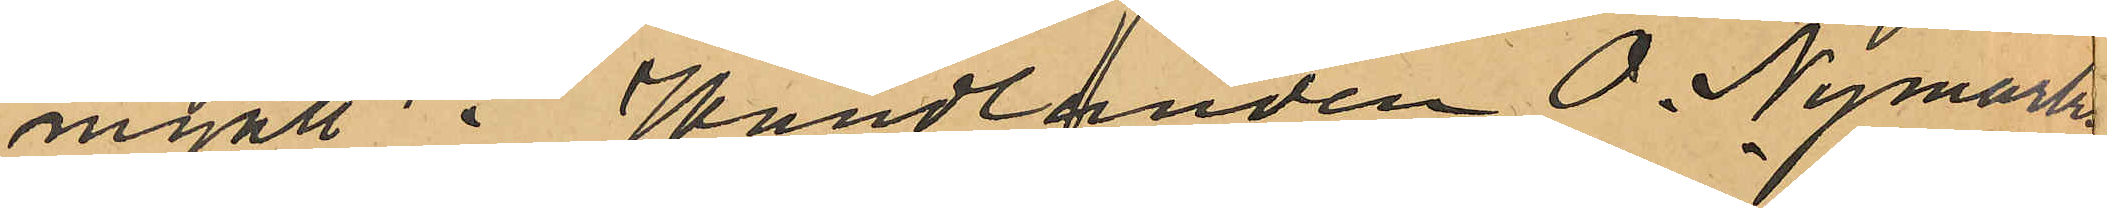ingått i Handlanden O. Nymarks
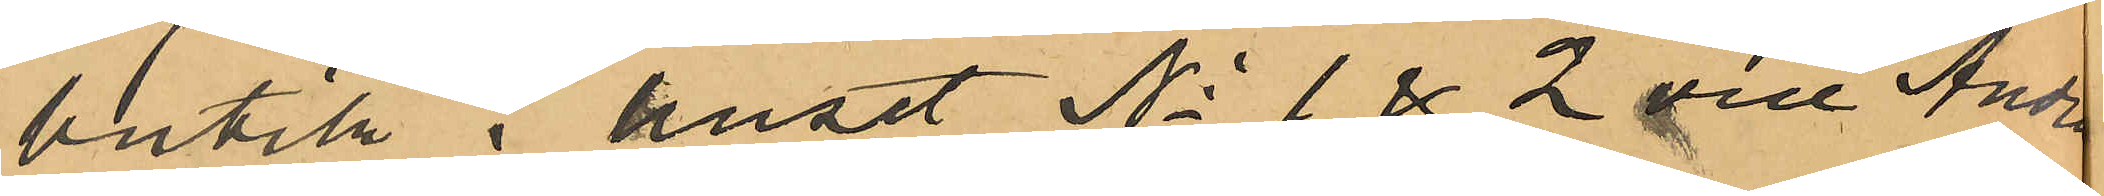butik i huset No 1 & 2 vid Andra
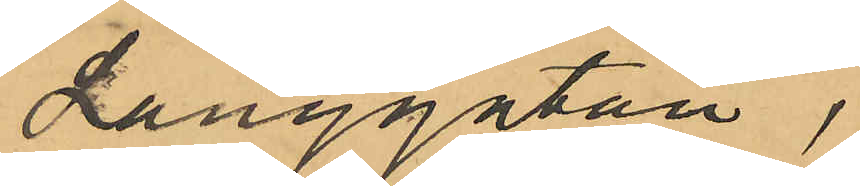Långgatan,
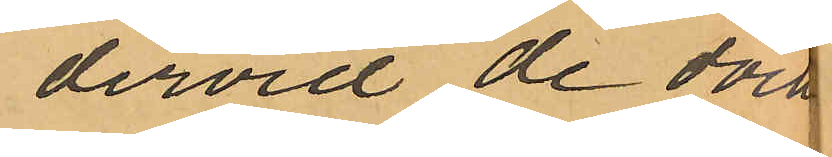dervid de dock
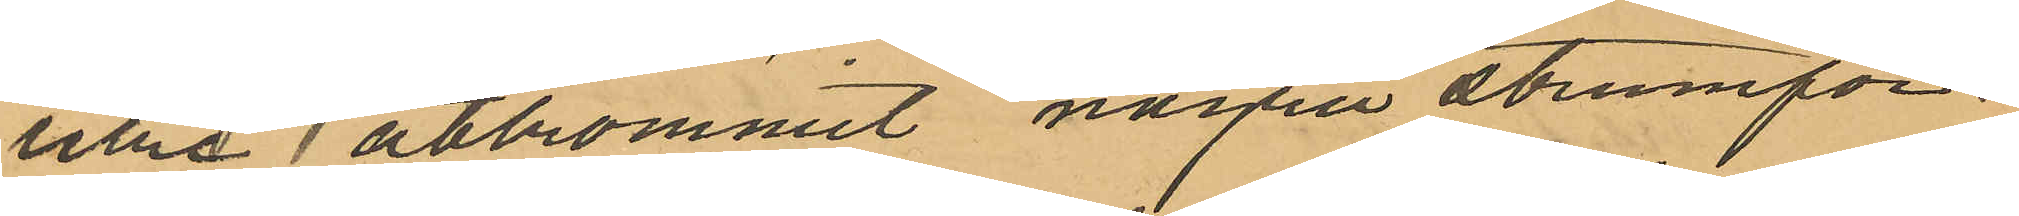icke åtkommit några strumpor,
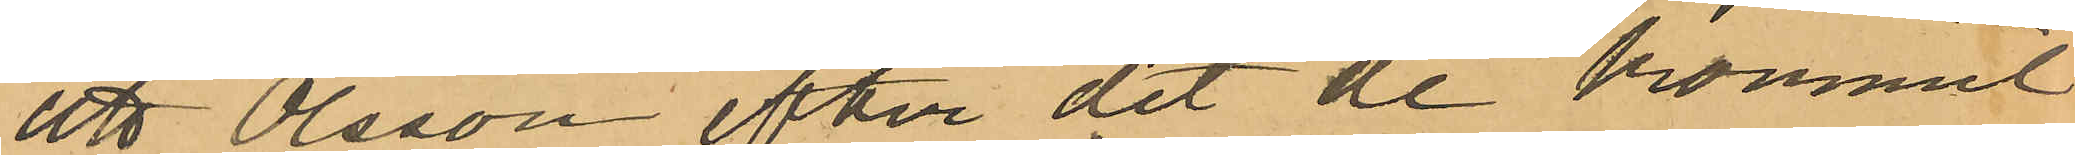att Olsson efter det de kommit
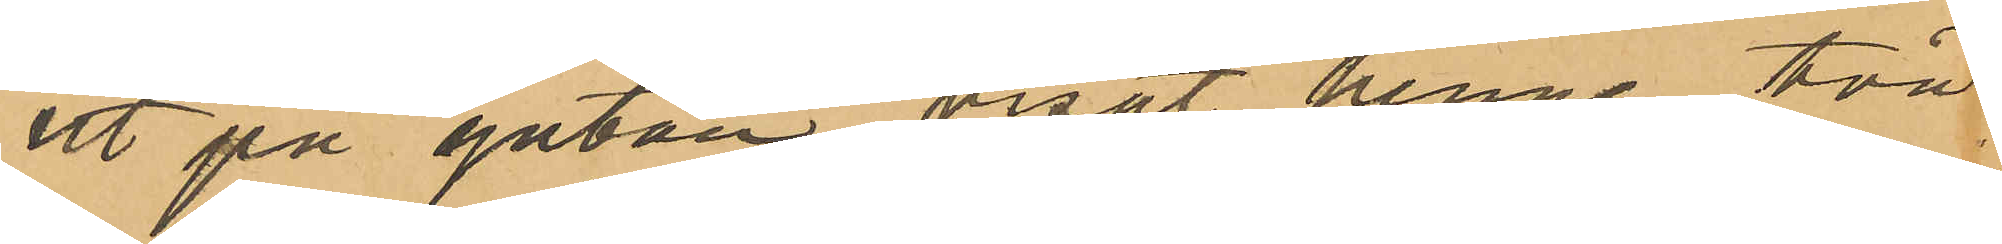ut på gatan visat henne två
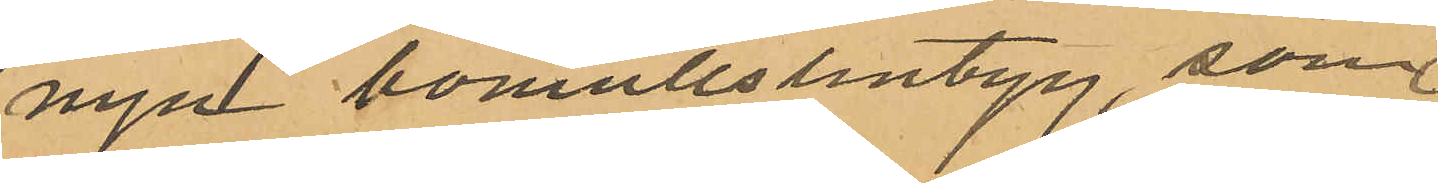nya bomullslintyg, som
